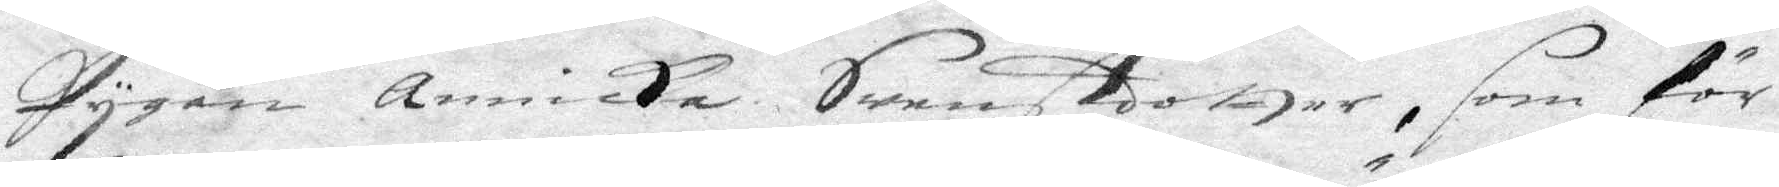pygan Annicka Swensdotter, som för 
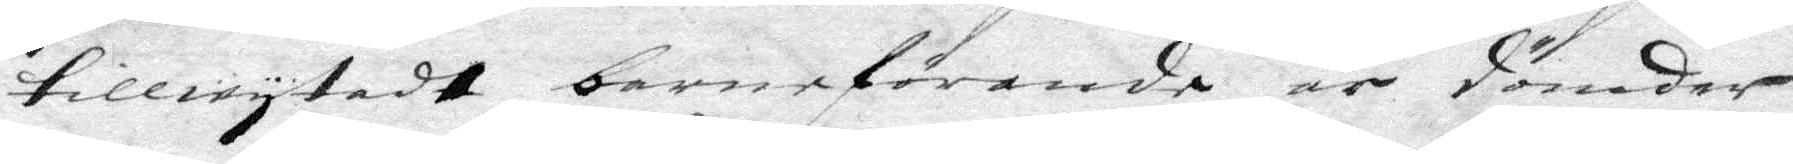tillwytadt barnaförande är dömder
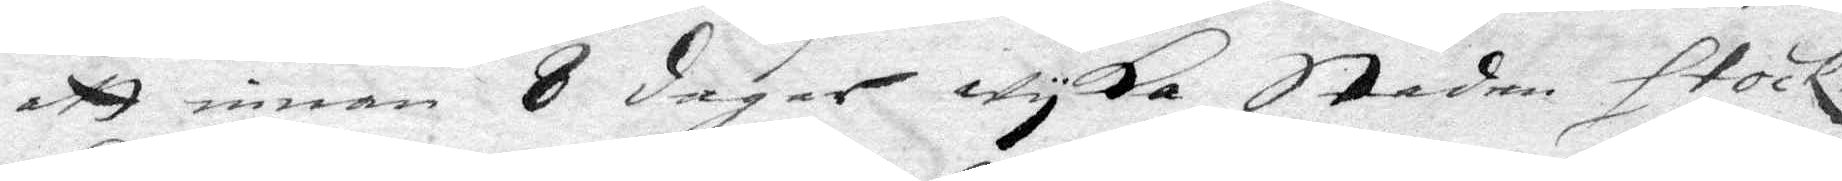att innan 8 dagra Wyka staden Stock¬
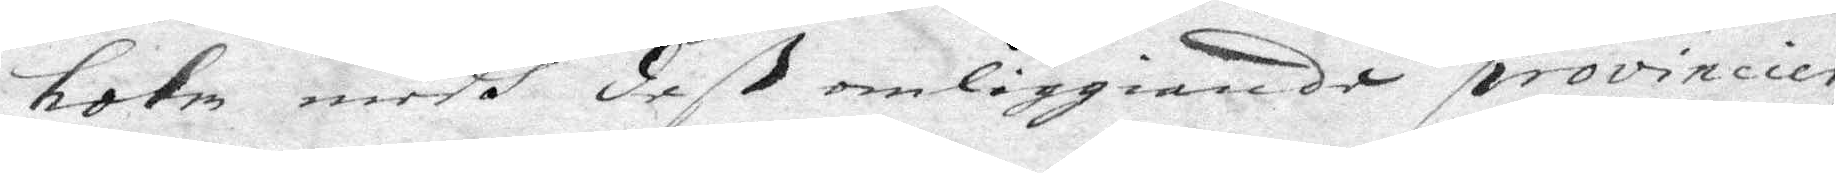holm medh deß omliggiande provincier
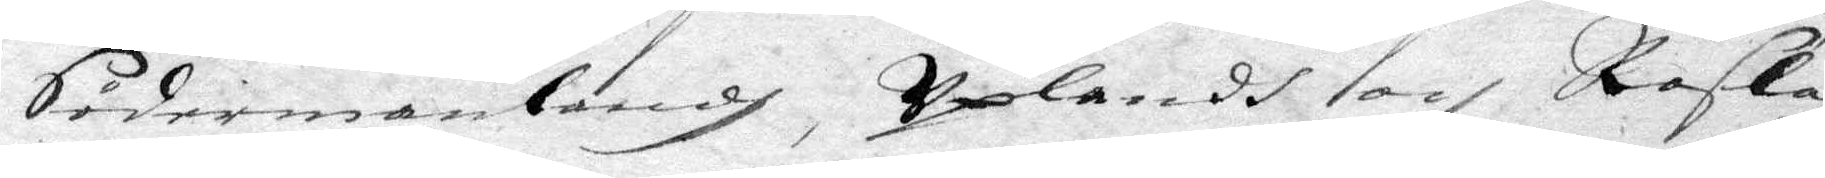Södermanlandh, Uplandh och Rosla¬
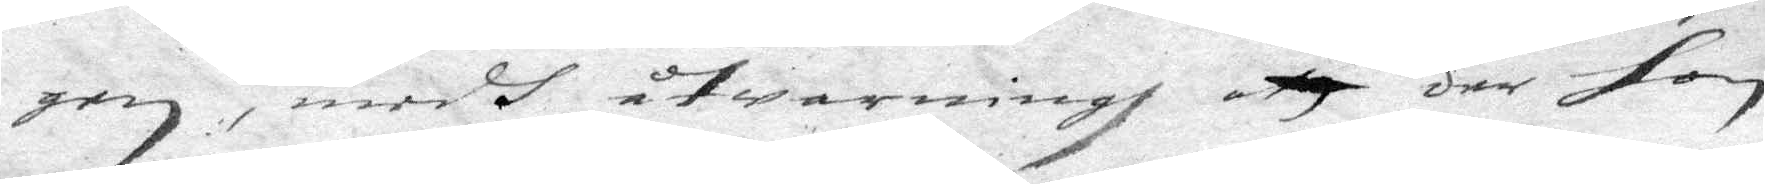gen, medh åtwarningh att der hon
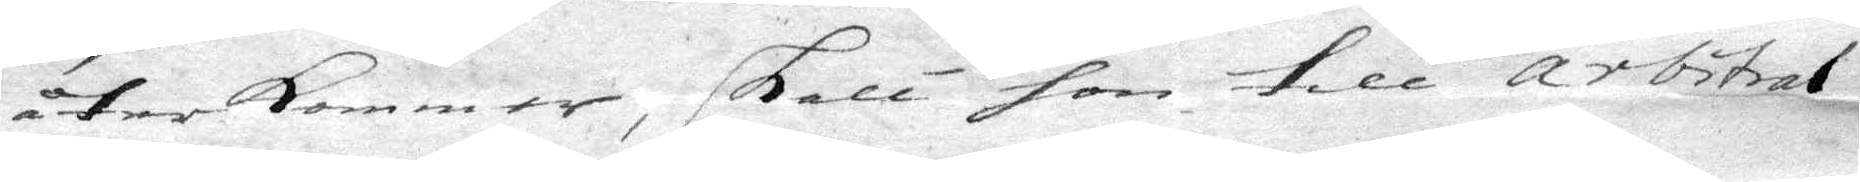återkommer, skall hon till arbitral¬
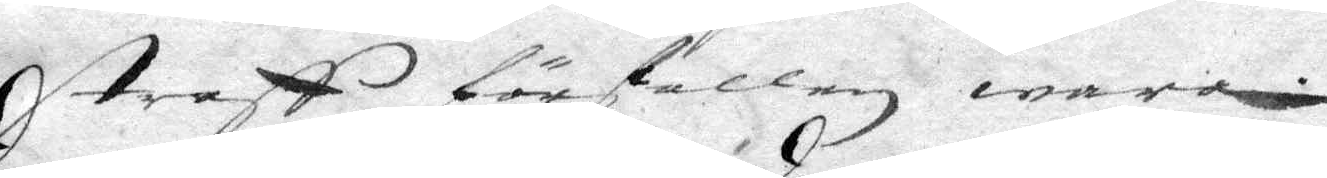straff förfallen wara.
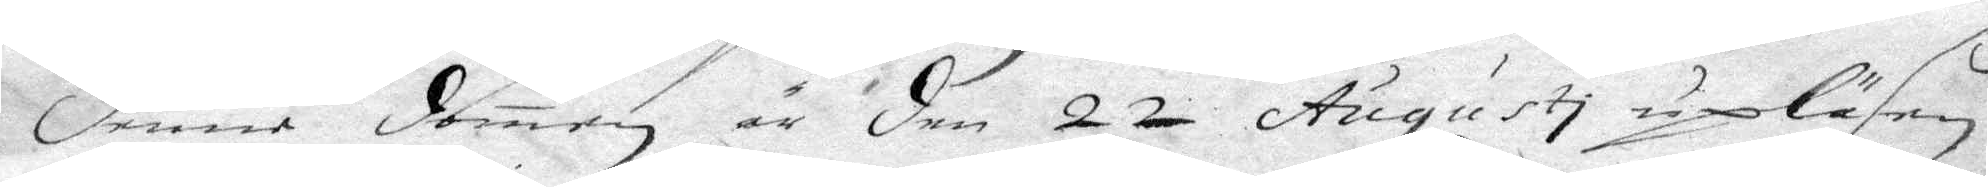denna domen är den 22 Augusti upläsen
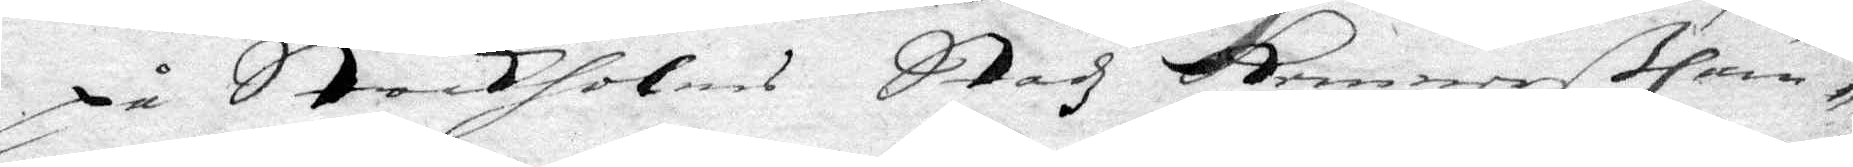på Stockholms Stadz KemnerßCam¬
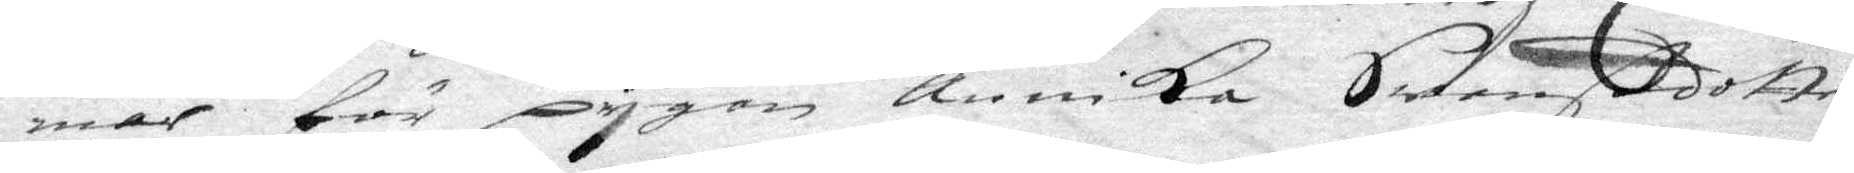mar för pygan Annika Swensdotter,
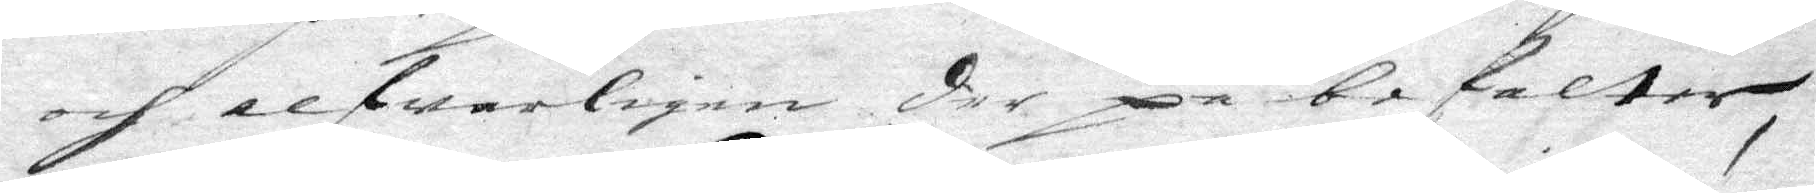och alfwarligen der på befalter,
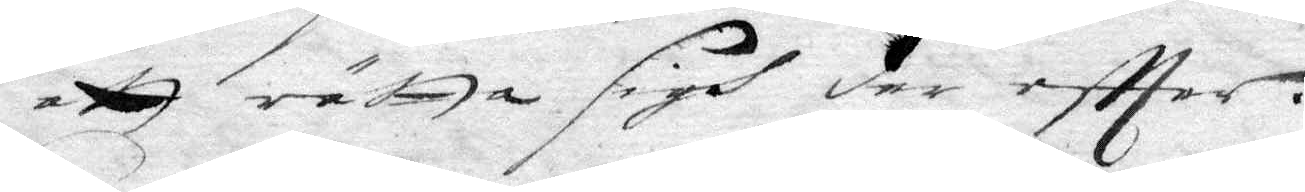att rätta sigh der effter.
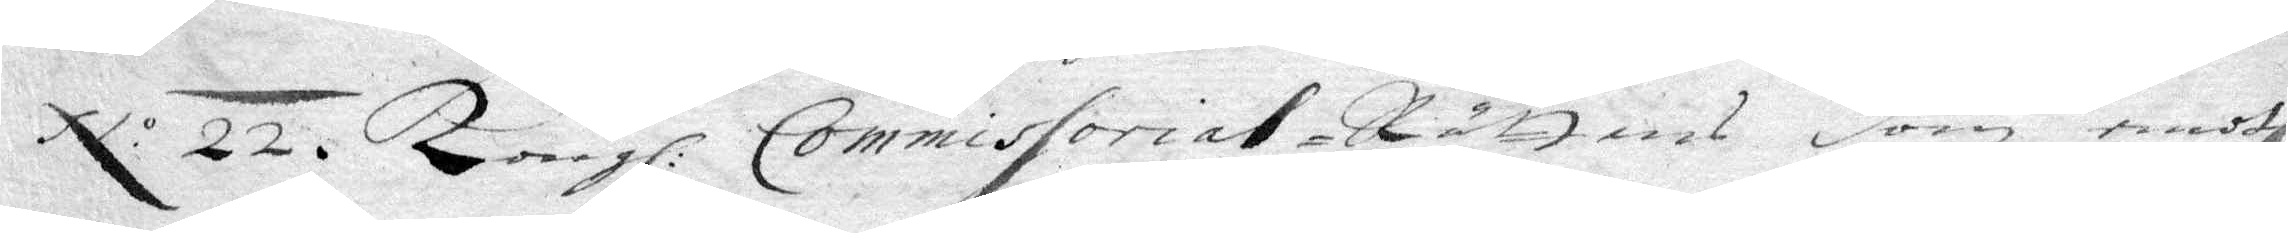N.o 22. Kongl. Commissorial Rättens dom emoth
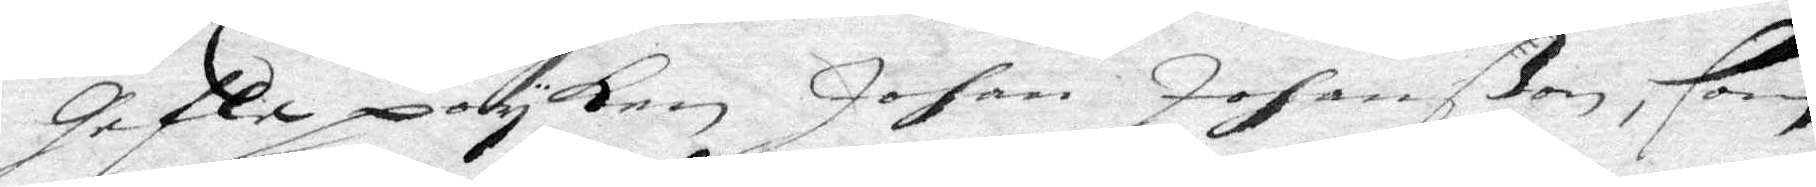Gefle poyken Johan Johanßon, som
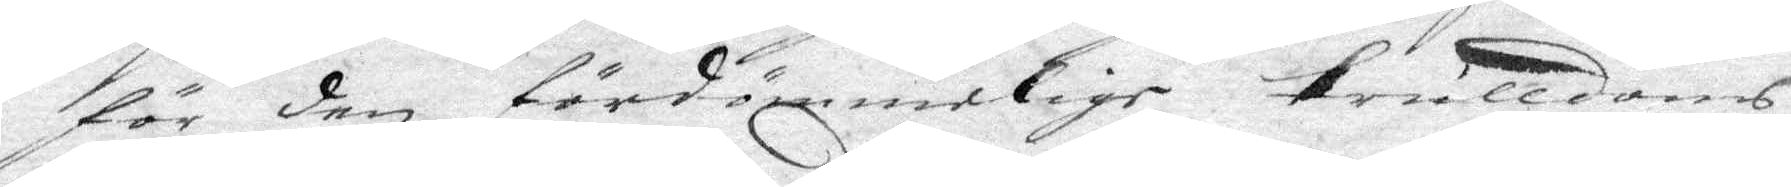för den fördömmelige trulldoms¬
